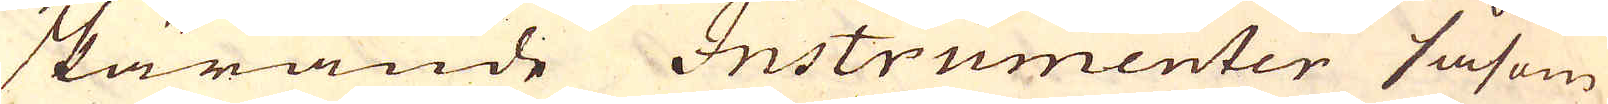skärande Instrumenter såsom
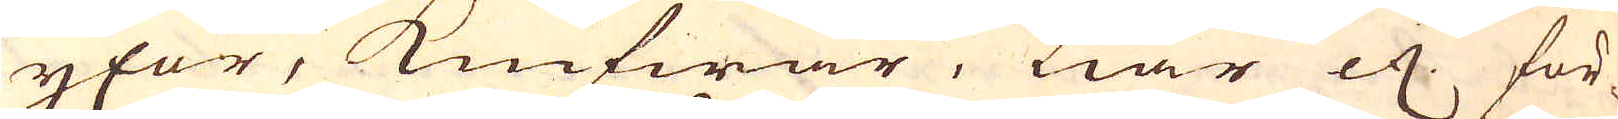yxor, knifwar, Liar etc. för-
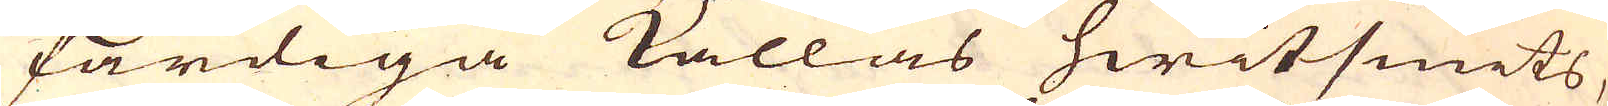färdiga kallas hwitsmits,
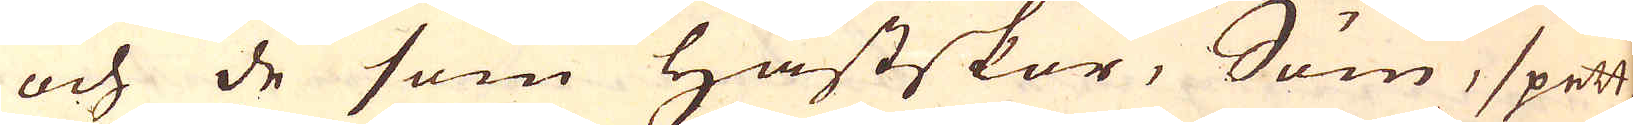och de som hästskor, Söm, spett
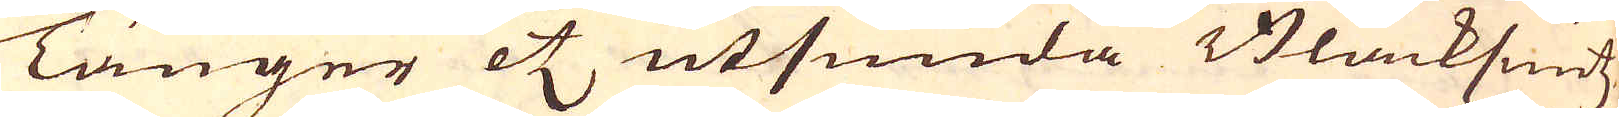Tänger etc utsmida Blacksmitz
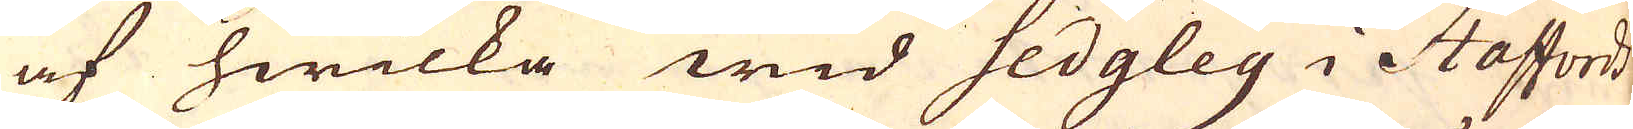af hwilka wid Sedgley i Staffords-
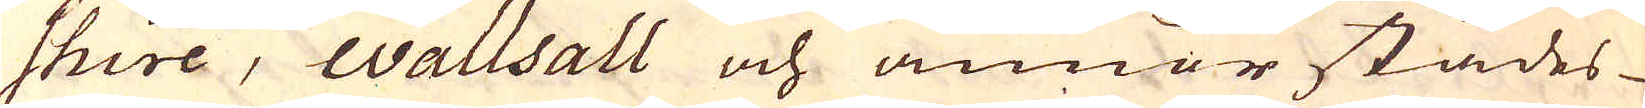shire, wallsall och annorstädes
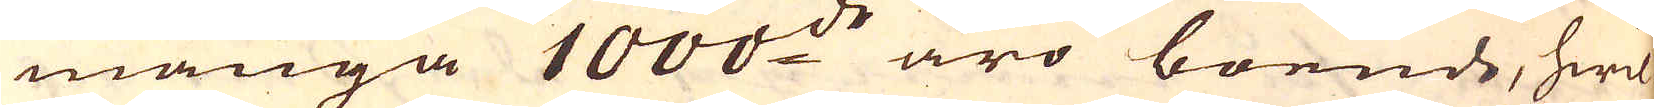många 1000:de äro boende, hwil-
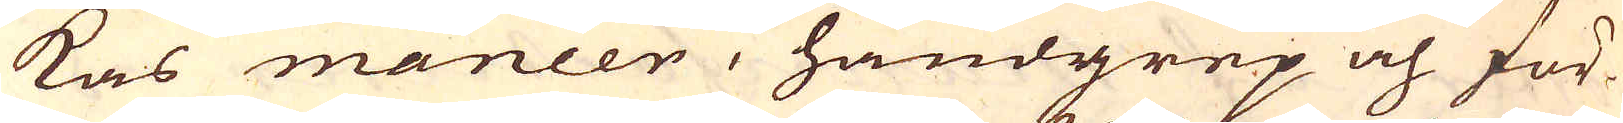kas maneer, handgrep och för-
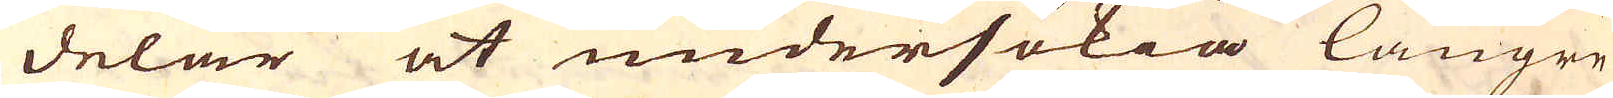delar at undersökia längre
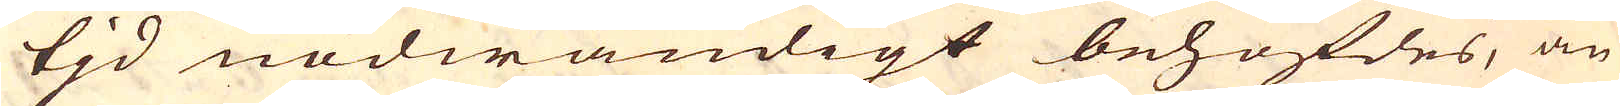tjd nödwändigt behöfdes, än
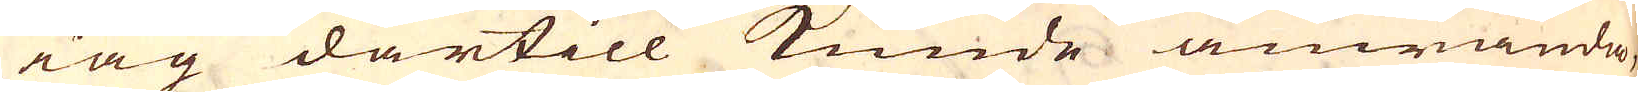iag därtill kunde anwända,
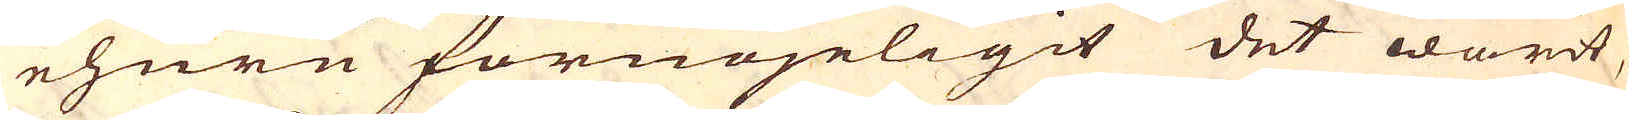ehuru förnöjeligit det warit,
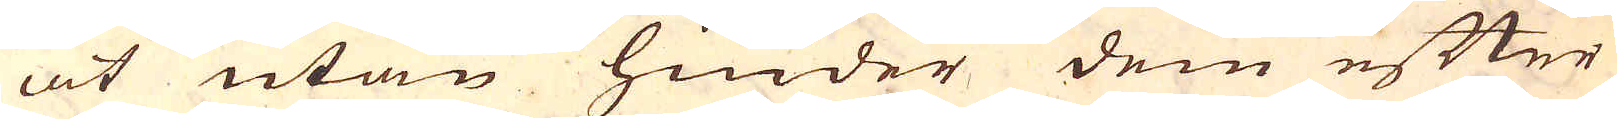at utan hinder dem efter
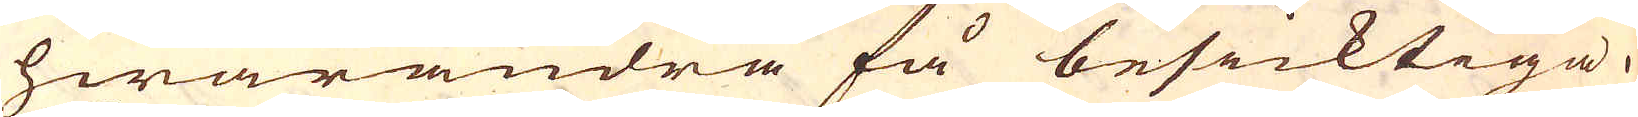hwarandra få besicktiga.
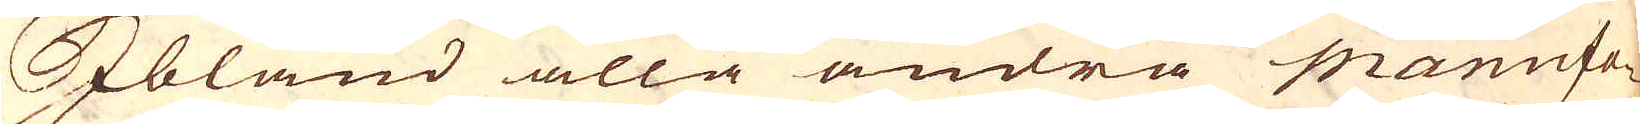Ibland alla andra Manufa-
